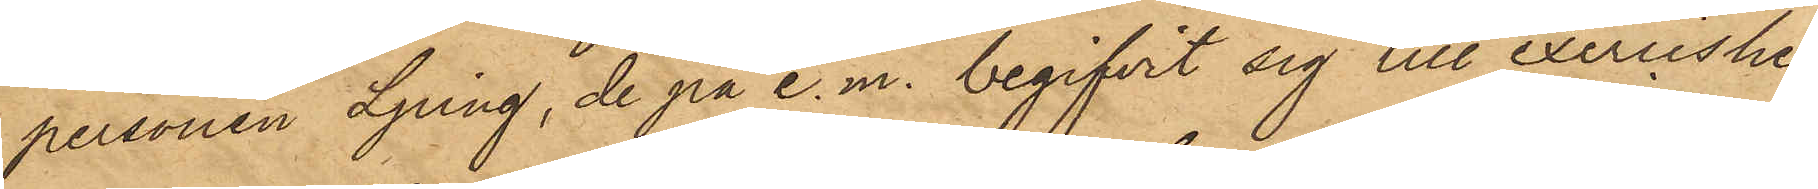personen Ljung, de på e.m. begifvit sig till exercishe¬
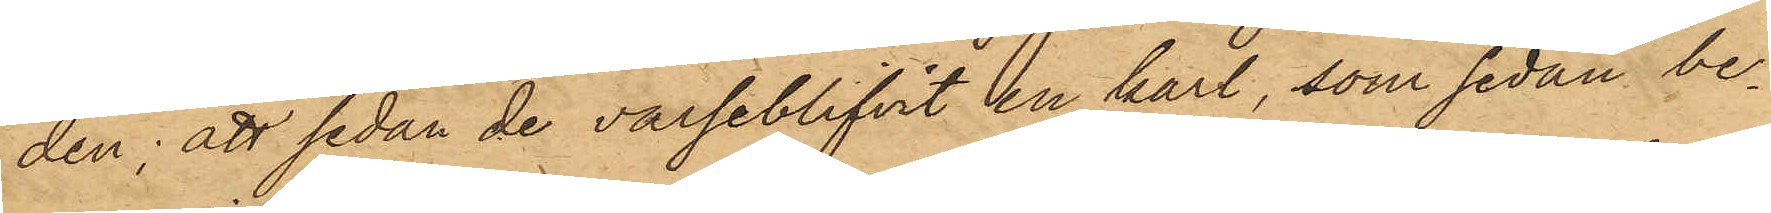den; att sedan de varseblifvit en karl, som sedan be¬
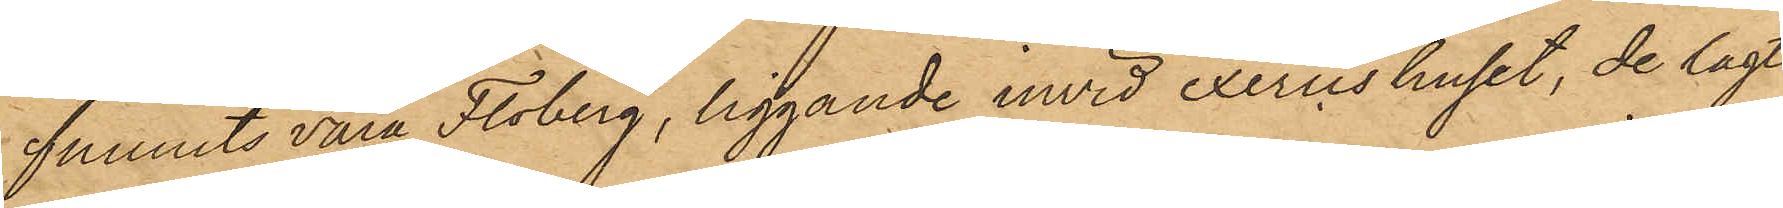funnits vara Floberg, liggande invid exercishuset, de lagt
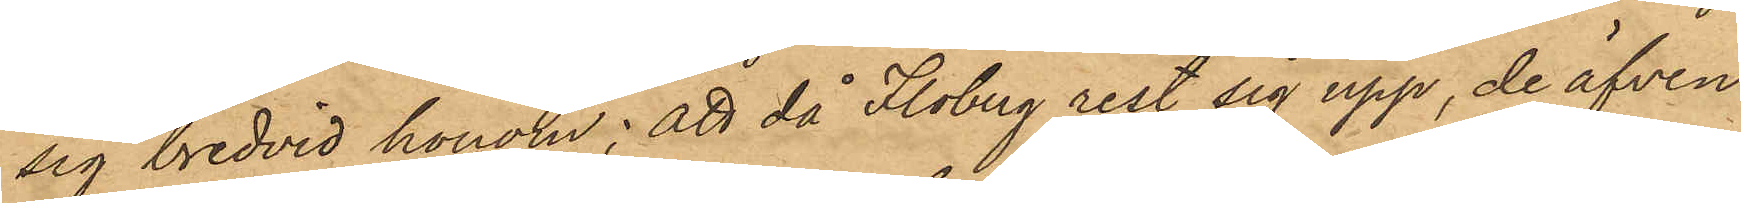sig bredvid honom; att då Floberg rest sig upp, de äfven
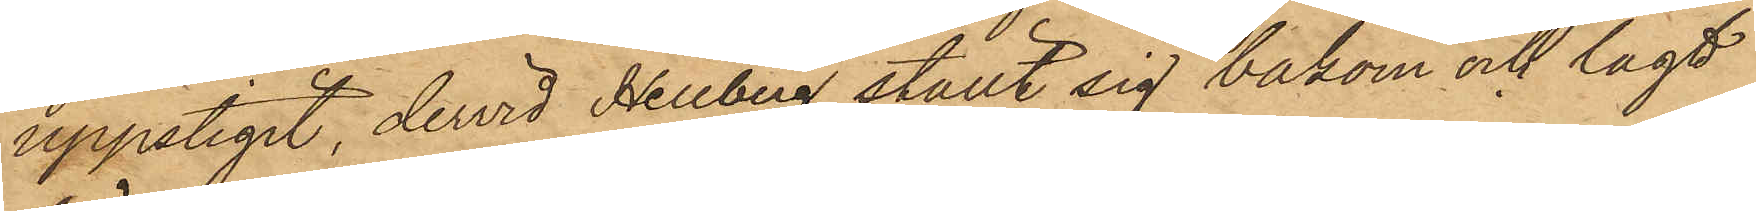uppstigit, dervid Hellberg ställt sig bakom och lagt
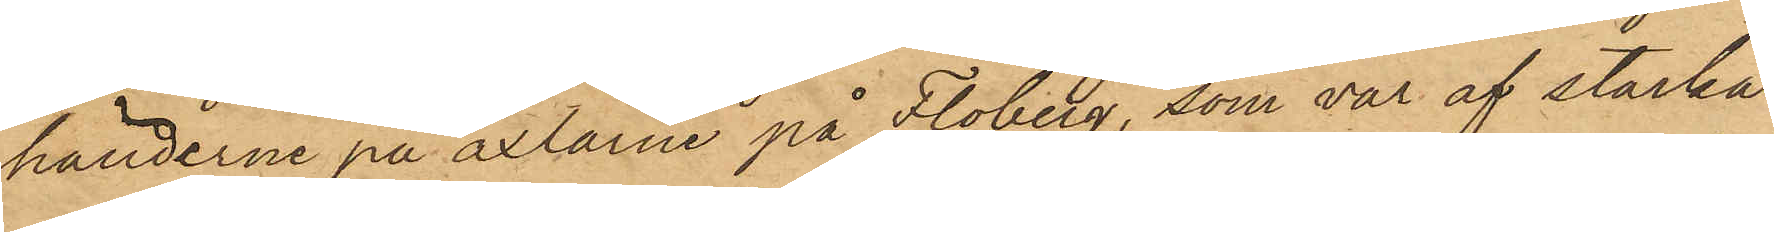händerne på axlarne på Floberg, som var af starka
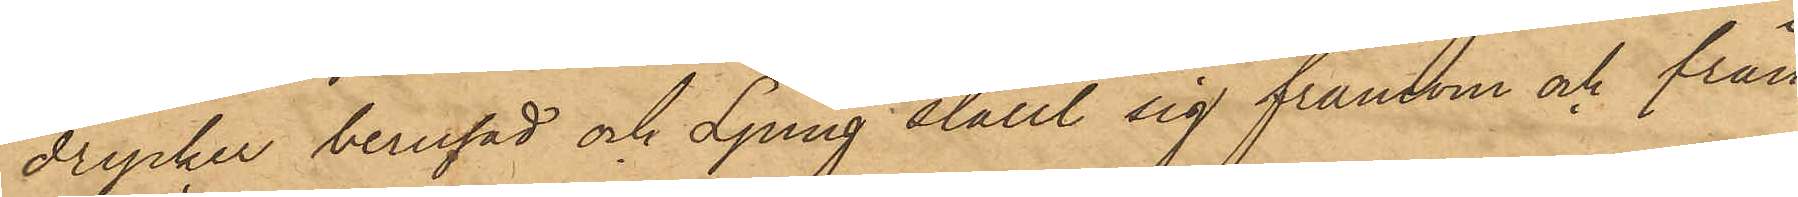drycker berusad och Ljung ställt sig framom och från
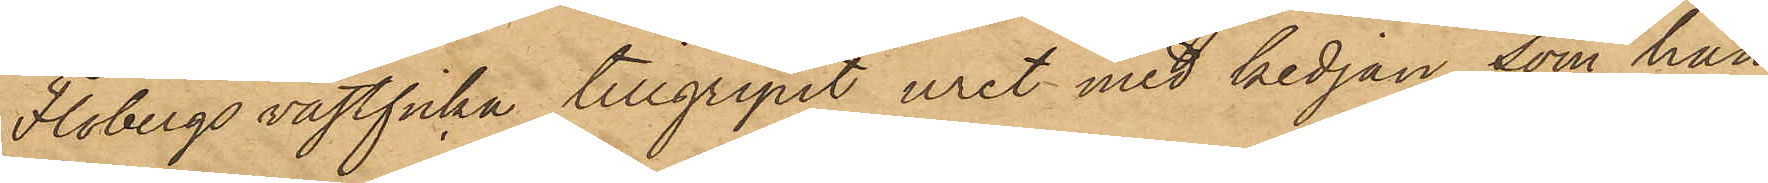Flobergs västficka tillgripit uret med kedjan, som han
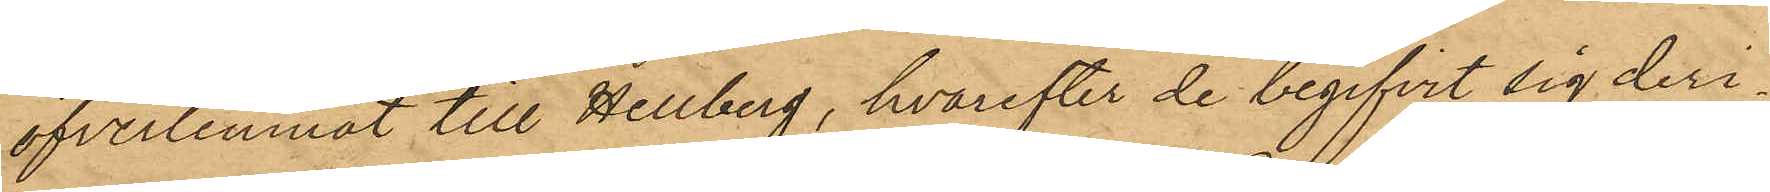öfverlemnat till Hellberg, hvarefter de begifvit sig deri¬
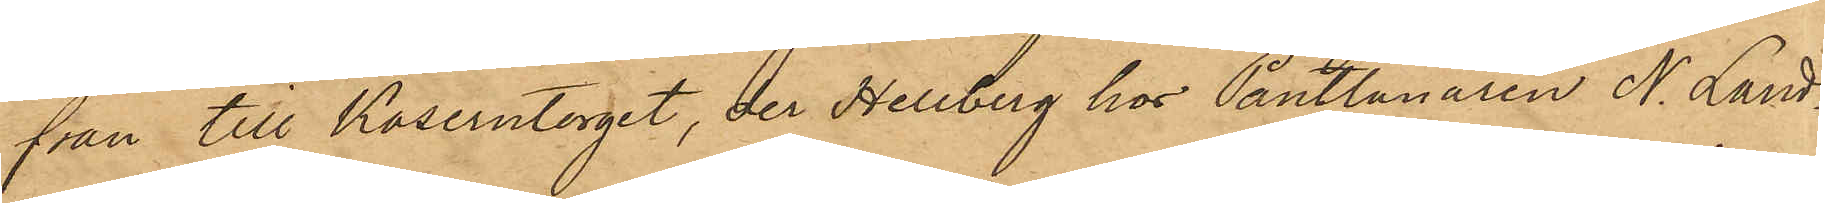från till Kaserntorget, der Hellberg hos Pantlånaren N. Land¬
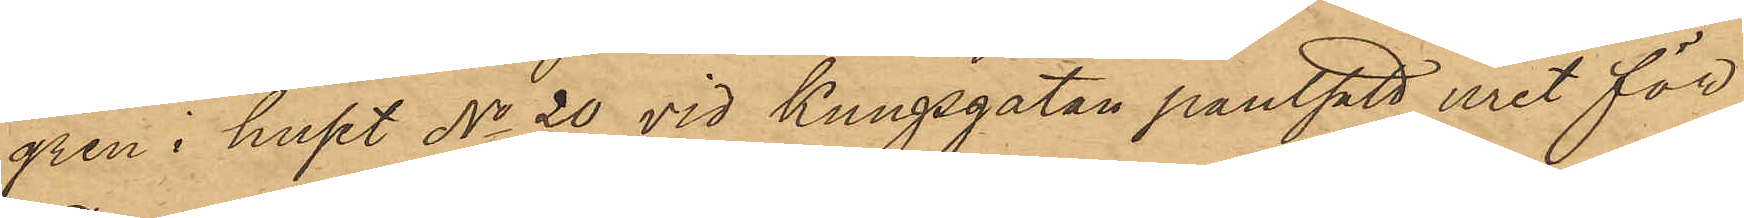gren i huset No 20 vid Kungsgatan pantsatt uret för
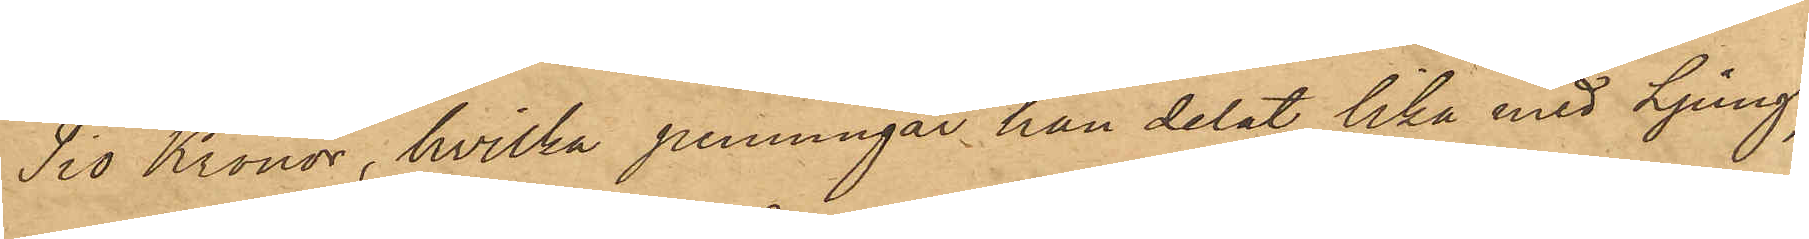Tio Kronor, hvilka penningar han delat lika med Ljung;
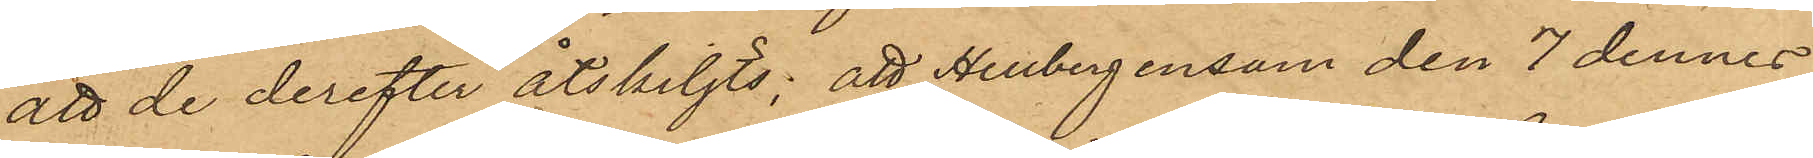att de derefter åtskiljts; att Hellberg ensam den 7 dennes
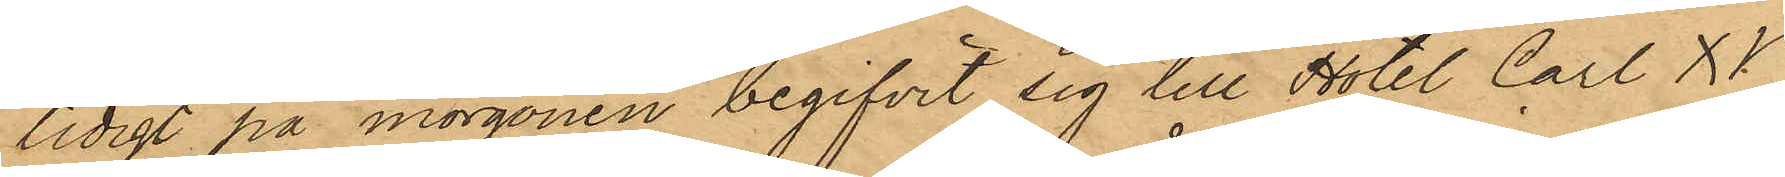tidigt på morgonen begifvit sig till Hotel Carl XV,
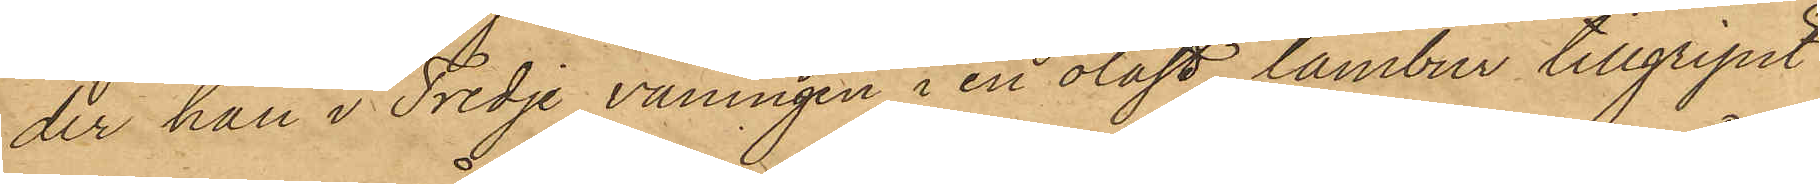der han i Tredje våningen i en olåst tambur tillgripit
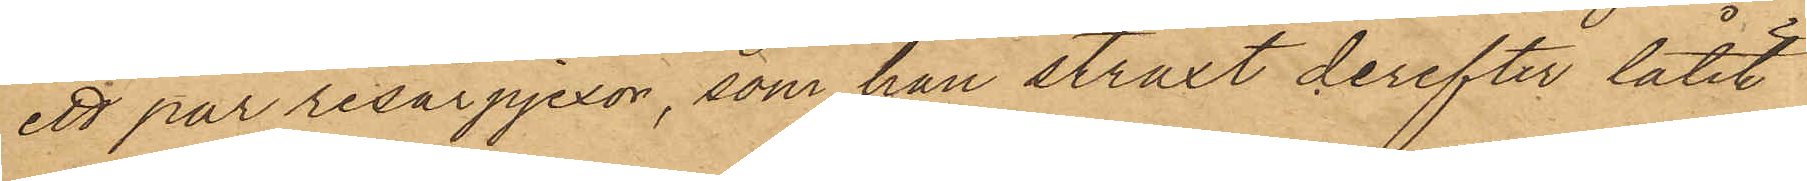ett par resårpjexor, som han straxt derefter låtit
